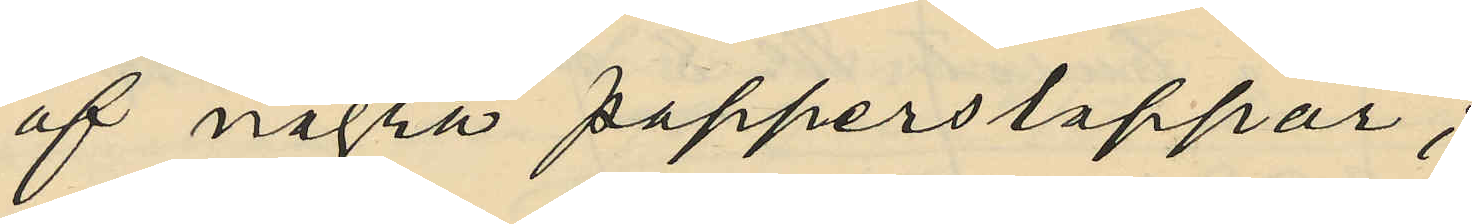af några papperslappar;
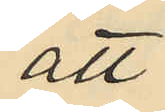att
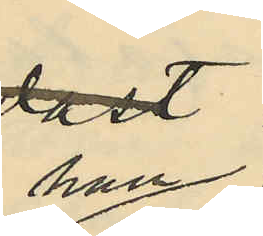han
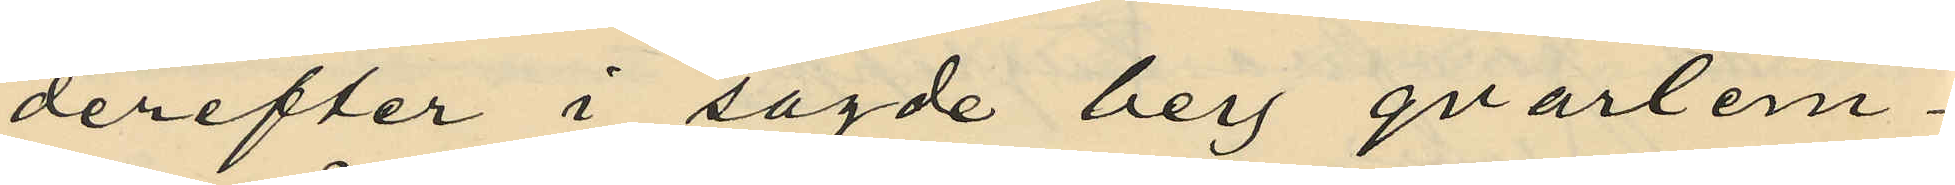derefter i sagde berg qvarlem¬
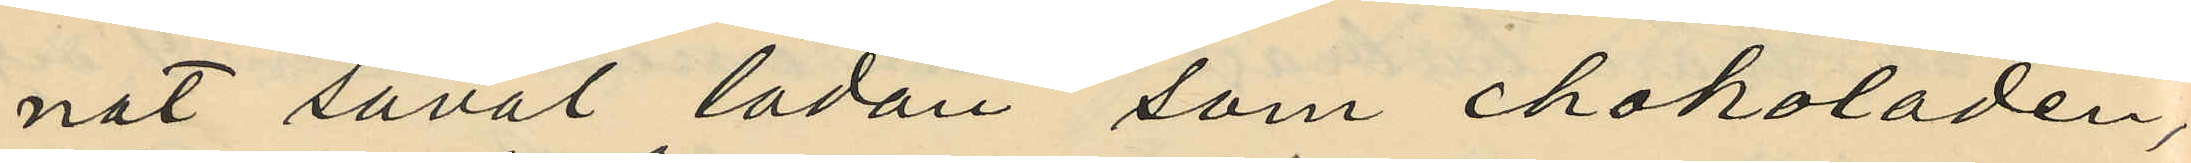nat såväl lådan som chokoladen;
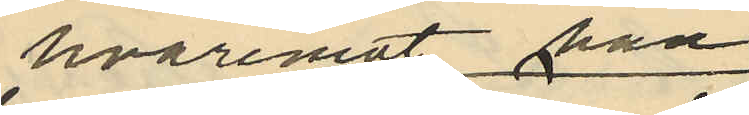hvaremot han
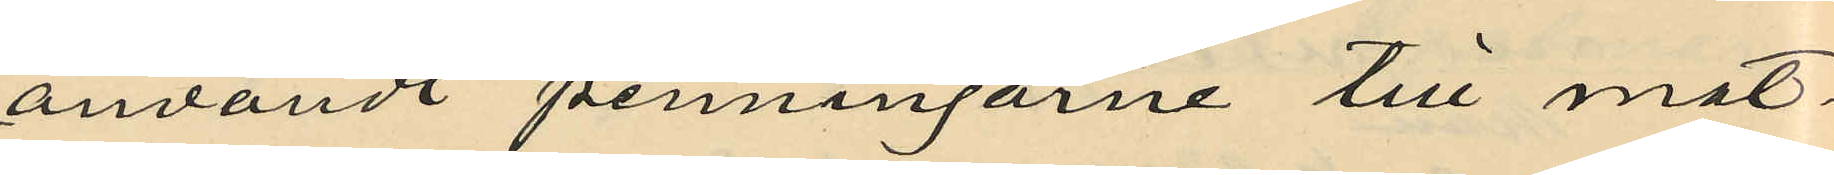användt penningarne till mat;
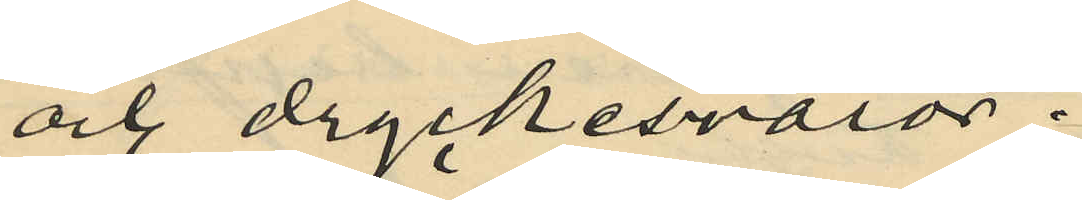och dryckesvaror;
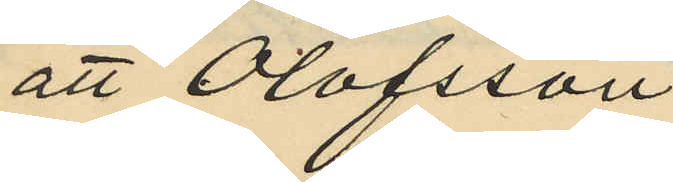att Olofsson
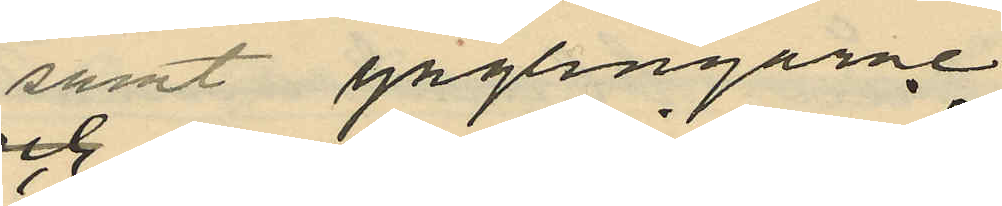samt ynglingarne
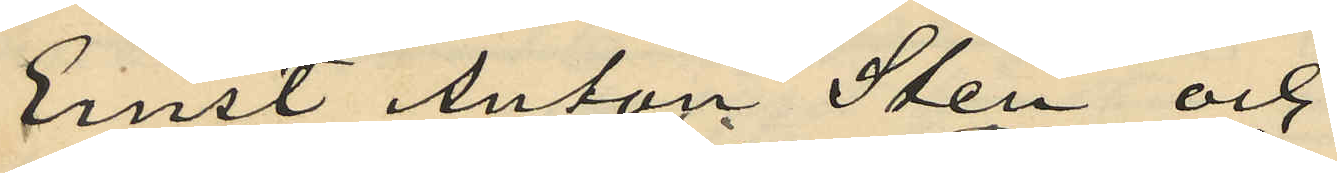Ernst Anton Sten och
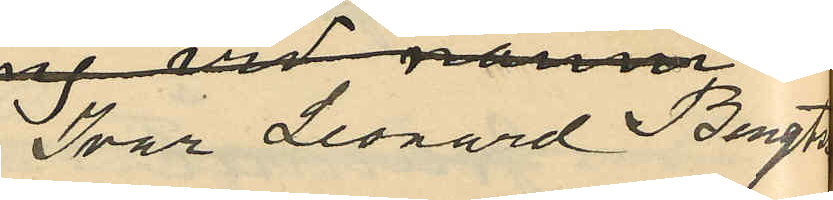Ivar Leonard Bengtsson
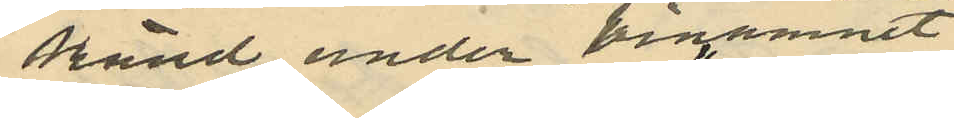känd under binamnet
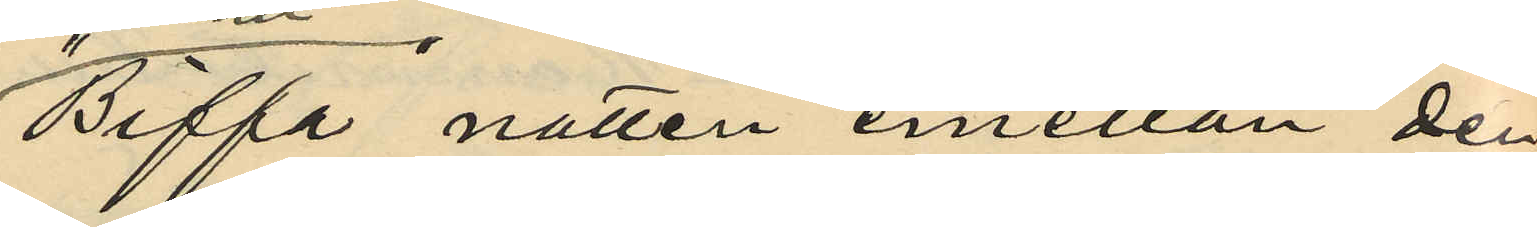"Biffa" natten emellan den
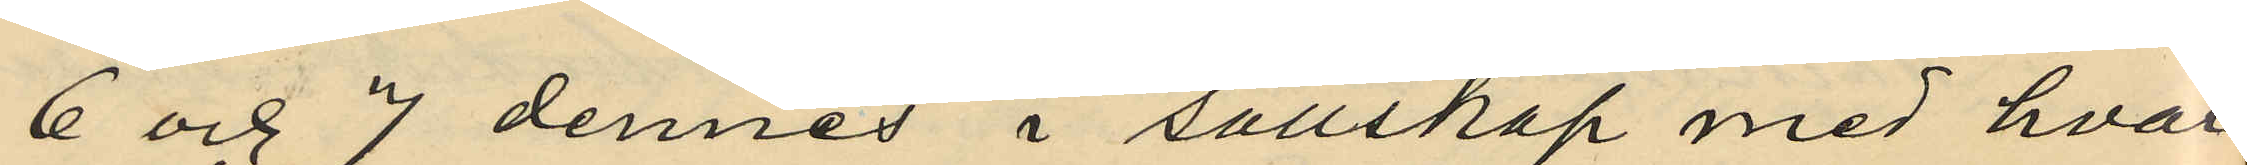6 och 7 dennes i sällskap med hvar¬
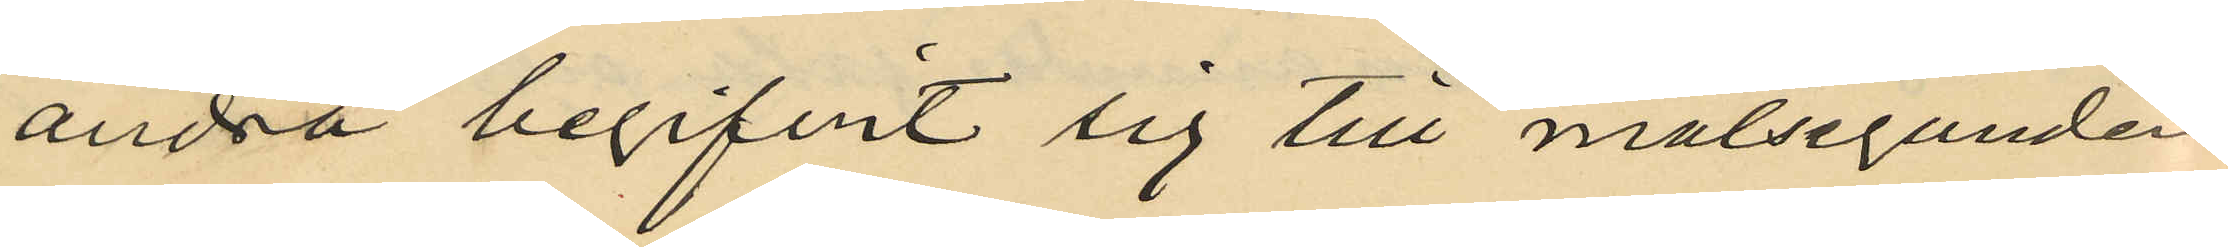andra begifvit sig till målseganden
